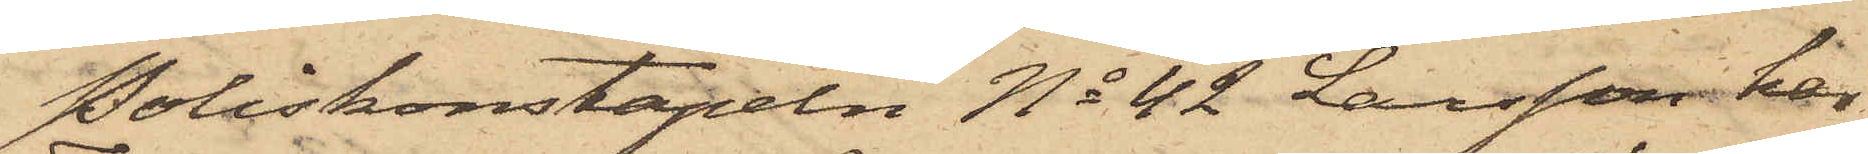Poliskonstapeln No 42 Larsson har
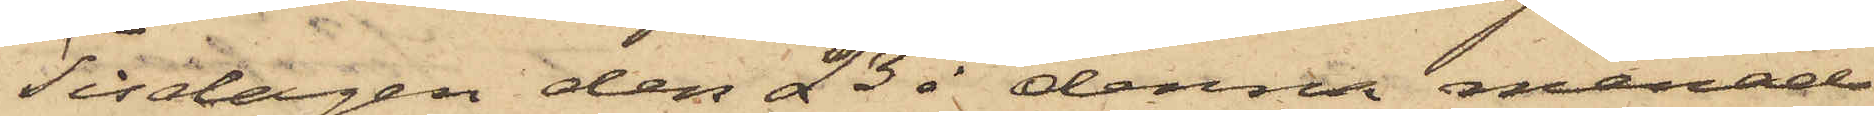Tisdagen den 23 i denna månad
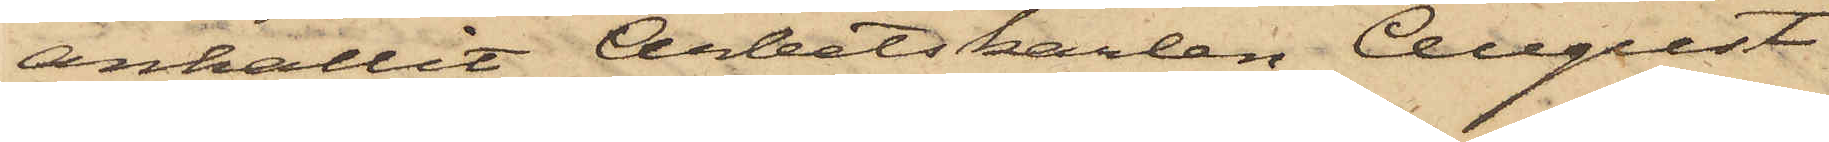anhållit Arbetskarlen August
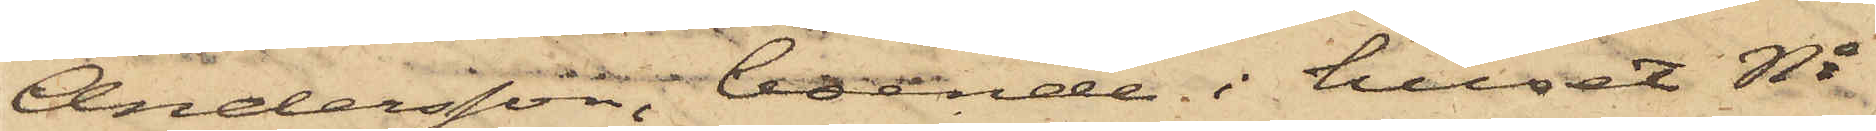Andersson, boende i huset No
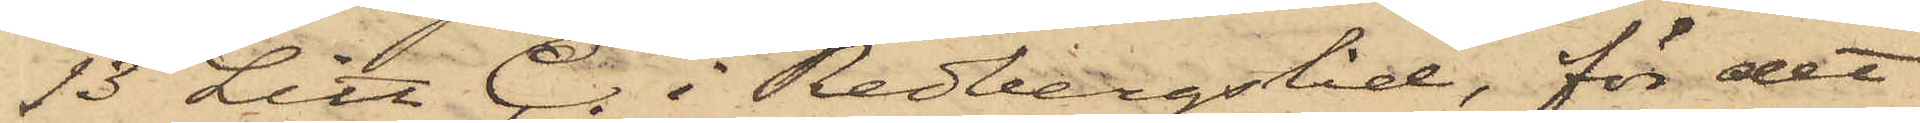13 Litt. C. i Redbergslid, för det
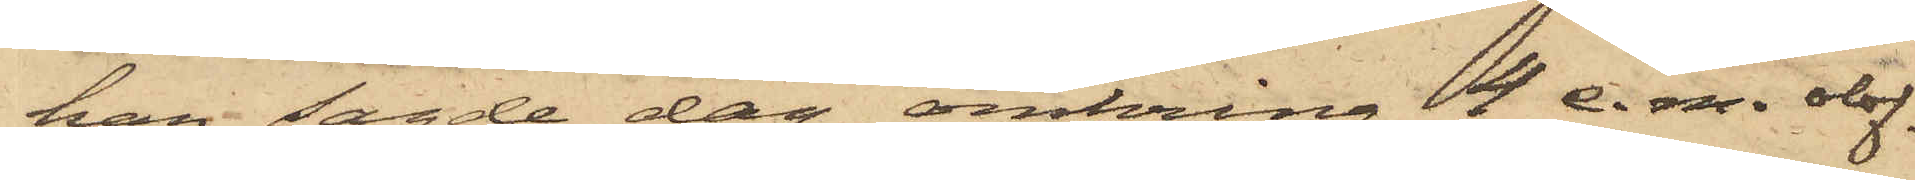han sagde dag omkring 4 e.m. olof¬
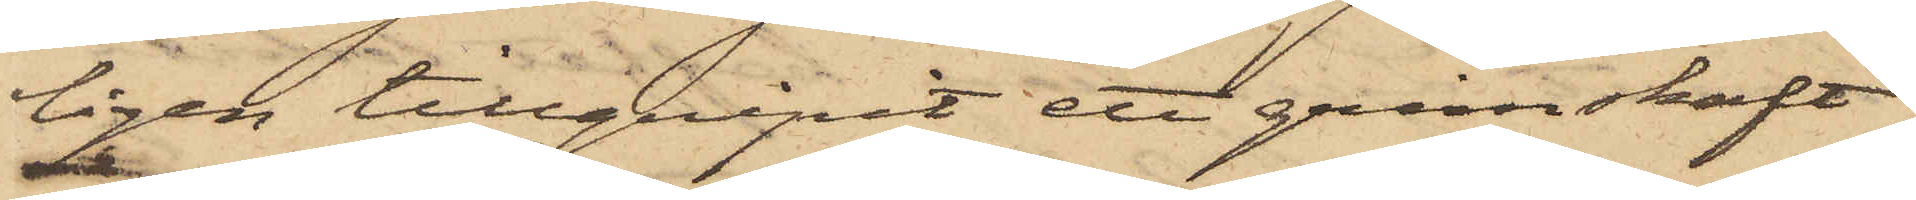ligen tillgripit ett grimskaft
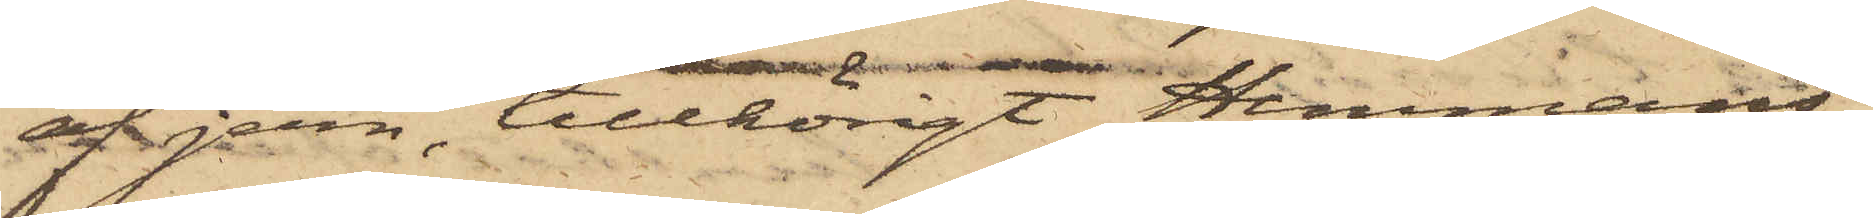af jern, tillhörigt Hemmans¬
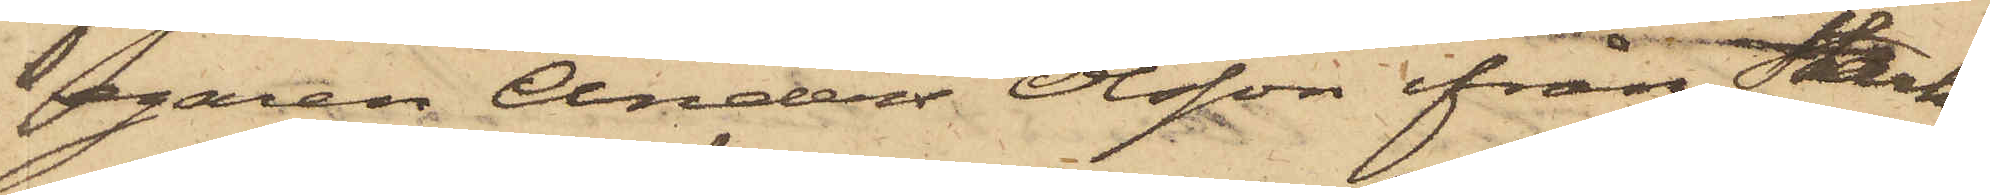egaren Anders Olsson ifrån Stark¬
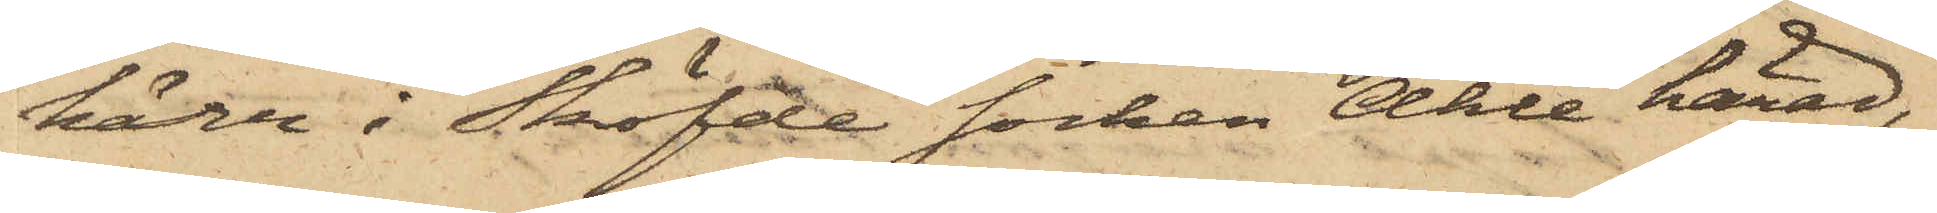kärr i Sköfde socken Ahle härad,
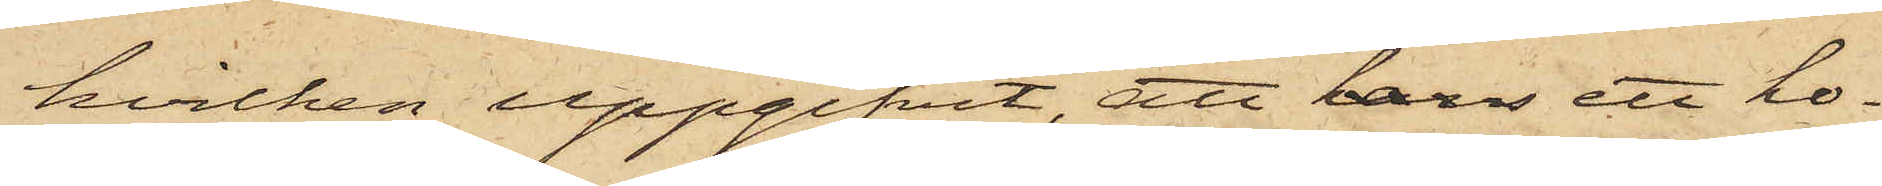hvilken uppgifvit, att hans ett ho¬
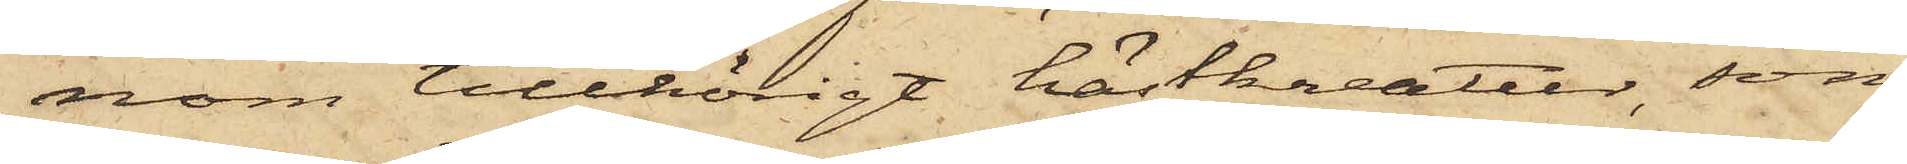nom tillhörigt hästkreatur, som
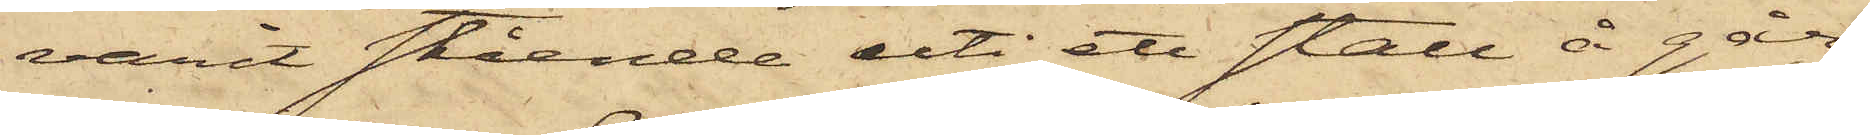varit stående uti ett stall å går¬
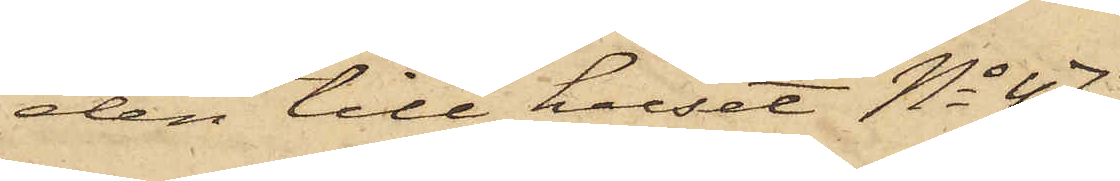den till huset No 47
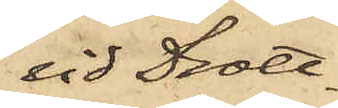vid Drott¬
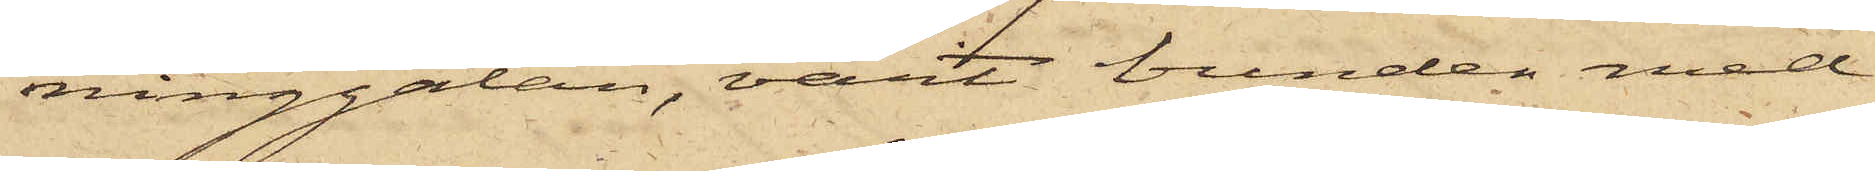ninggatan, varit bunden med
